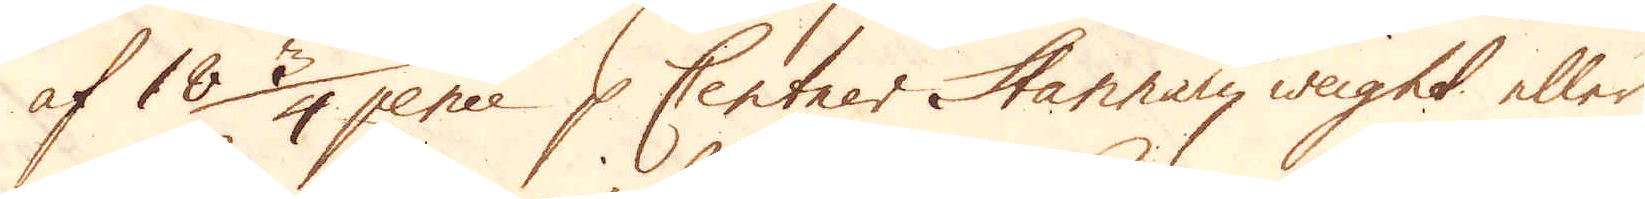af 18 3/4 pence p Centner Hannary weight eller
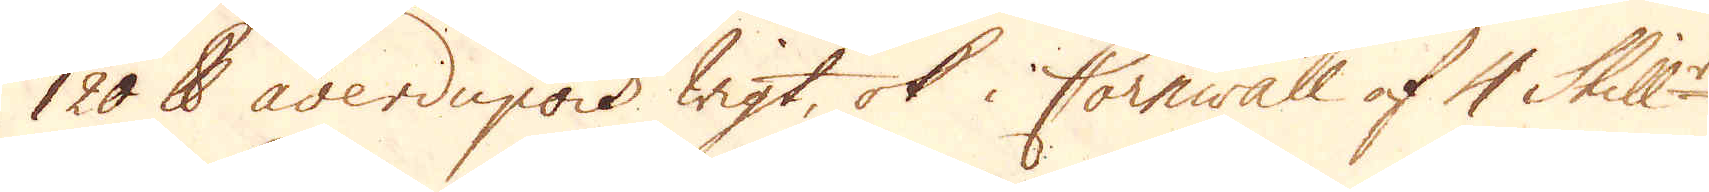120 skålpund averdupois wigt, ok i Cornwall af 4 Skill:r
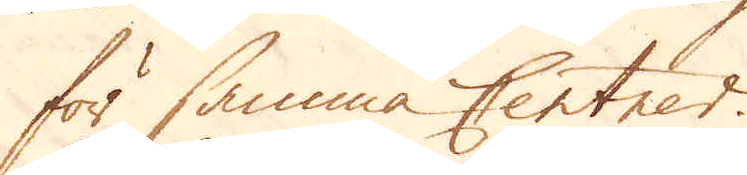för samma Centner.
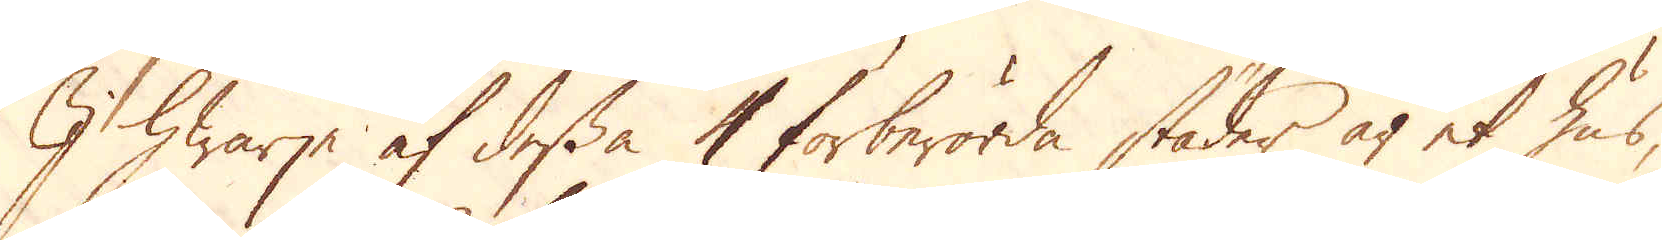I hwarje af dessa 4 förberörda städer är et hus,
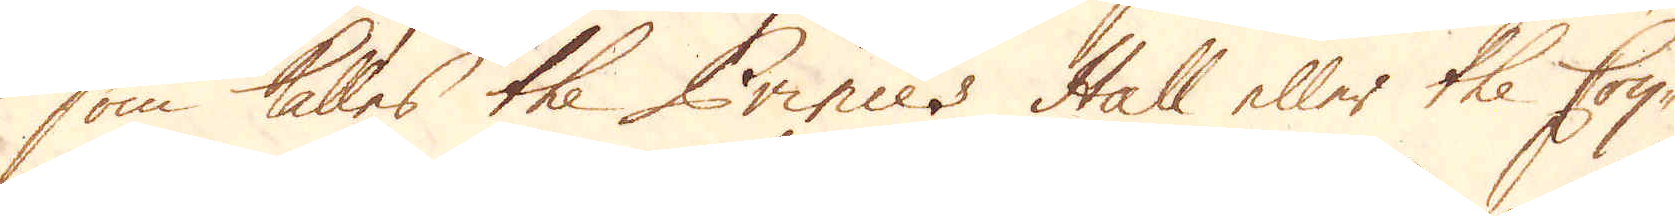som kalles the Princes Hall eller the Coy-
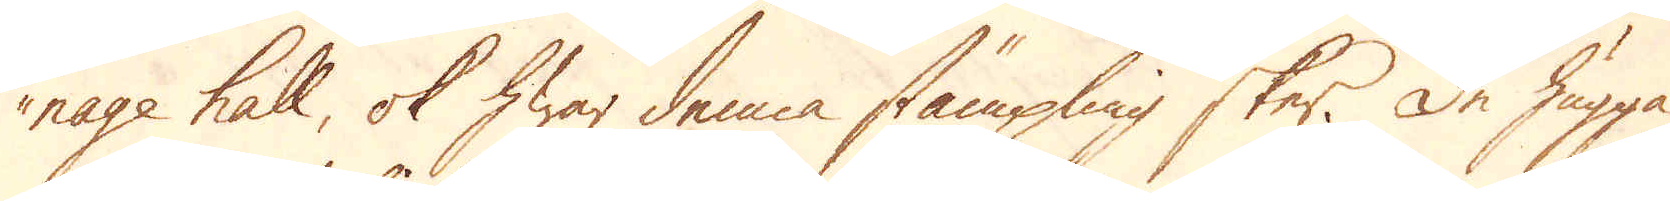nage hall, ok hwar denna stämpling sker. De hugga
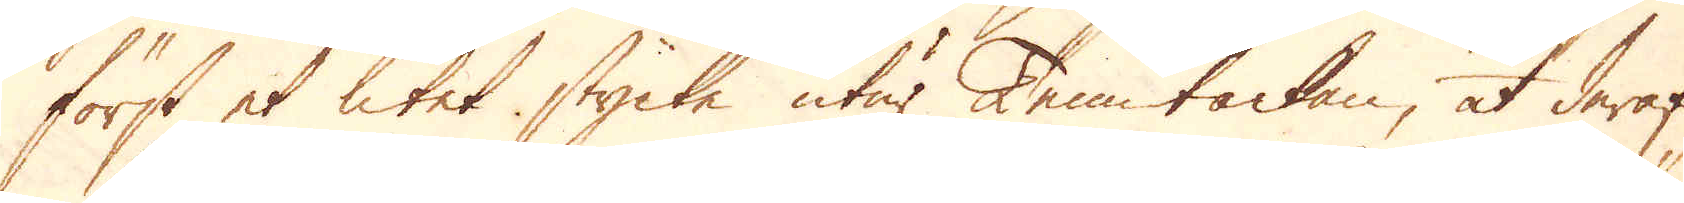först et litet stycke utur Tenn tackan, at deraf
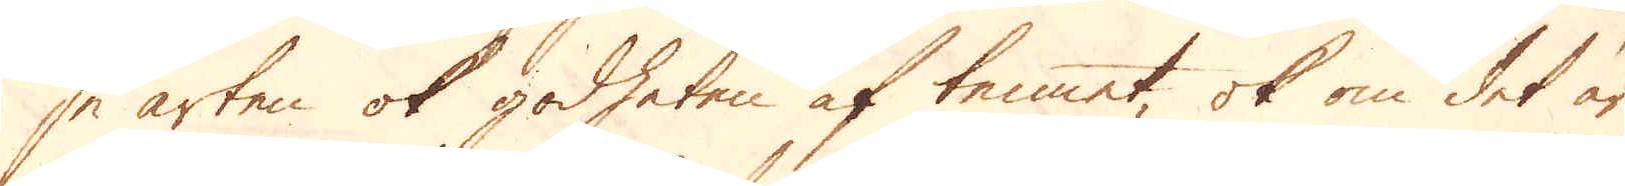se arten ok godheten af tennet, ok om det är
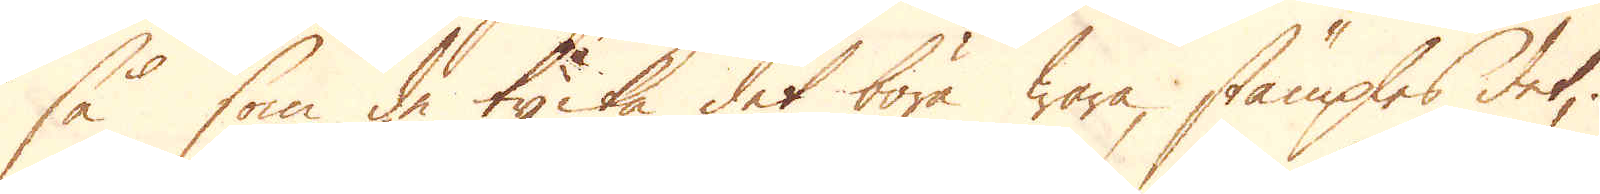så som de tycka det böra wara, stämples det,
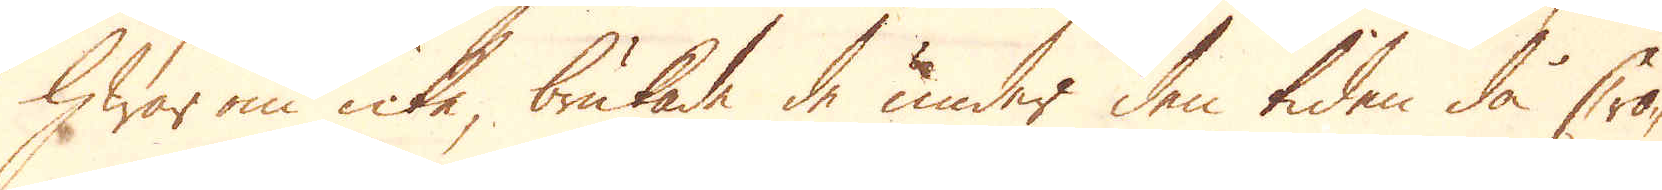hwar om icke brukade de under den tiden då Cro-
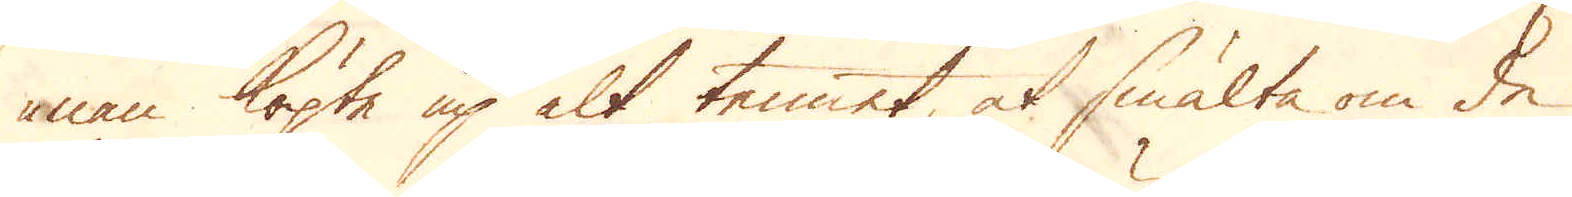nan köpte up alt tennet at smälta om de
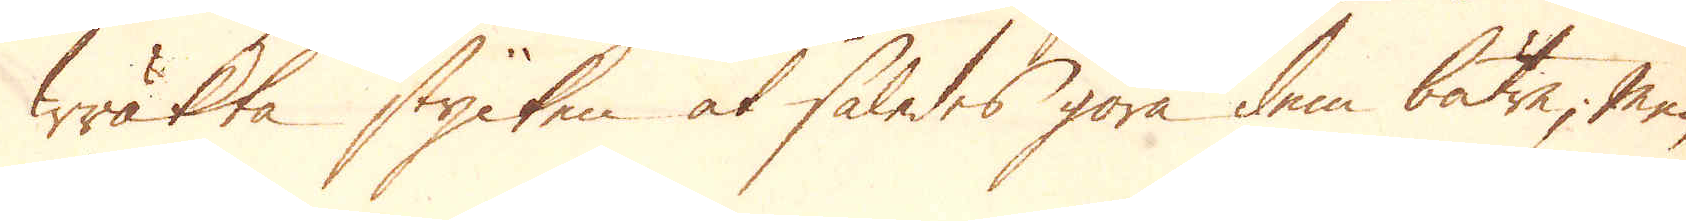wäkta stycken at således göra dem bätre, men
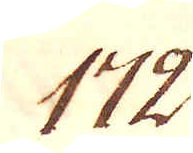172.
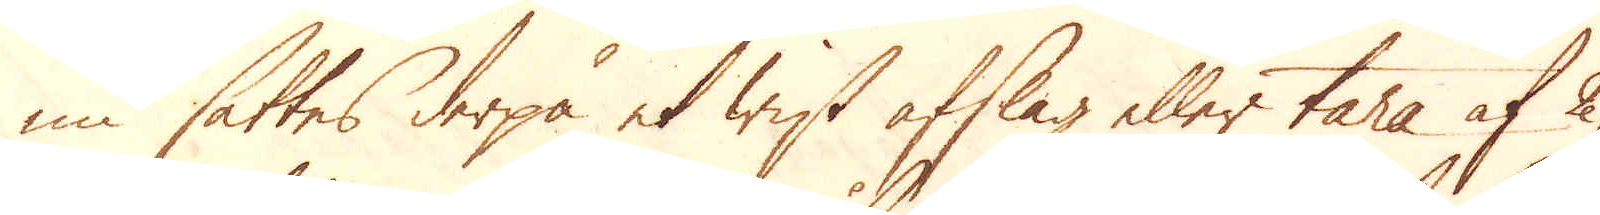nu sättes derpå et wist afslag eller tara af 2,
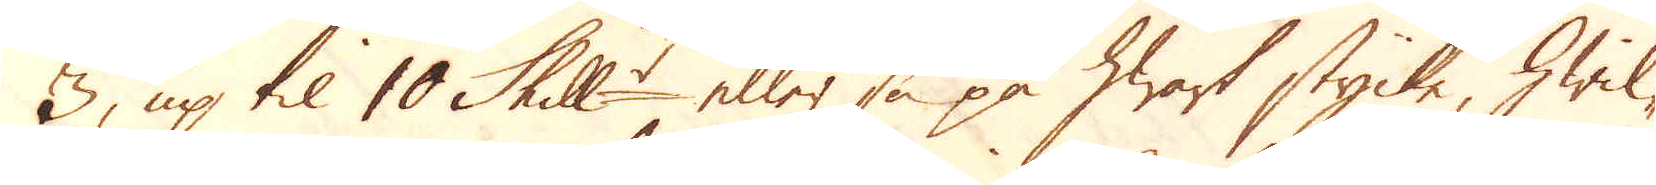3, up til 10 Skill:r eller så på hwart stycke hwil-
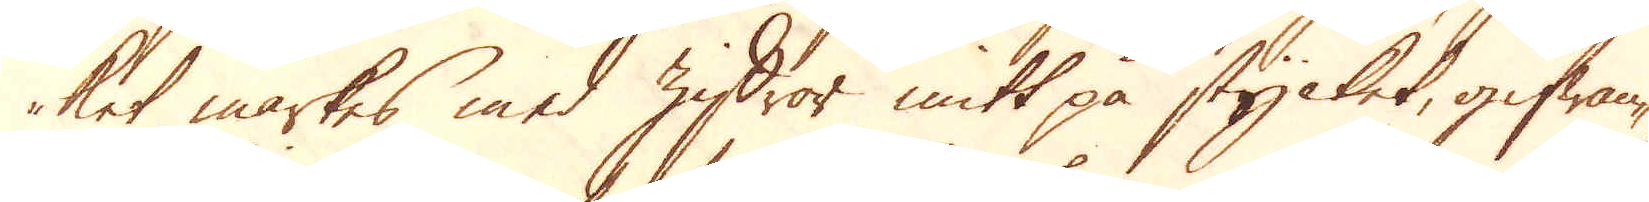ket märkes med ziffror mitt på stycket, gifwan-
